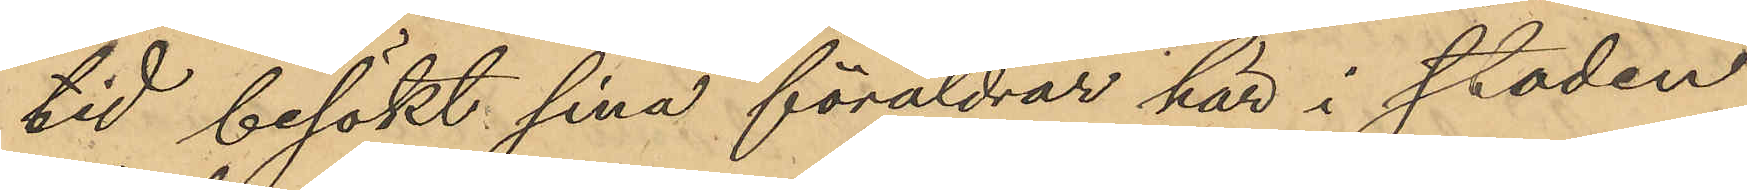tid besökt sina föräldrar här i staden
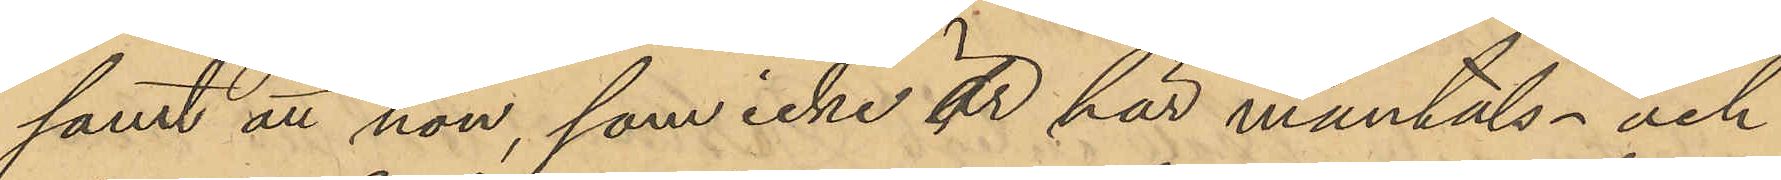samt att hon, som icke är här mantals- och
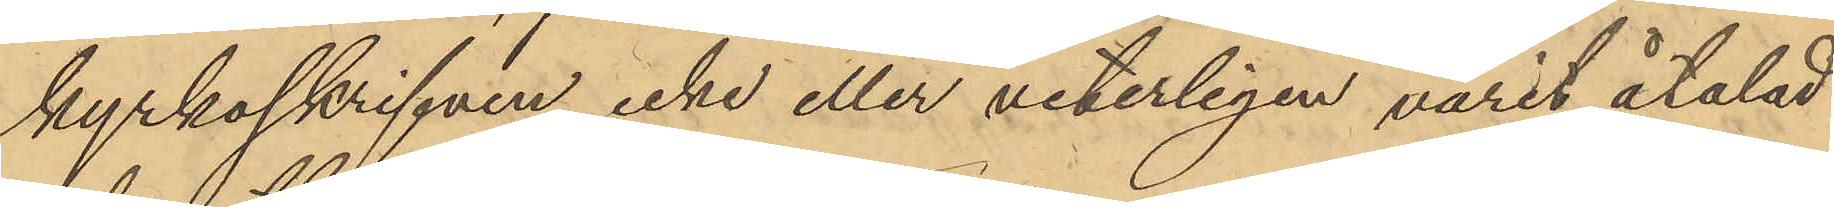kyrkoskrifven icke eller veterligen varit åtalad
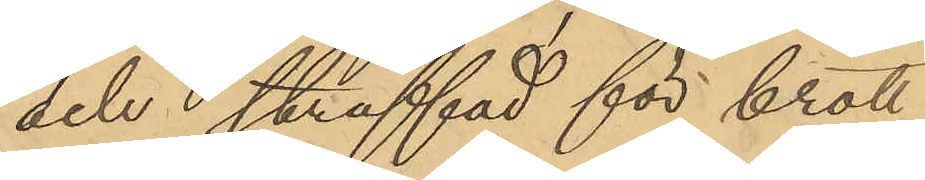och straffad för brott.
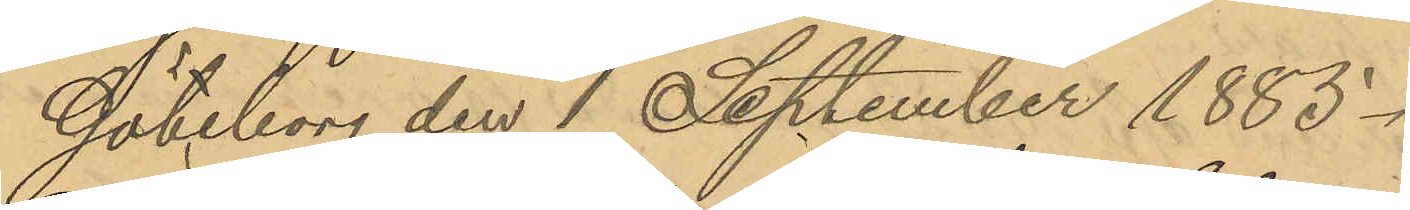Göteborg den 1 September 1885.
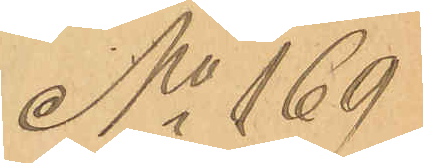No 169
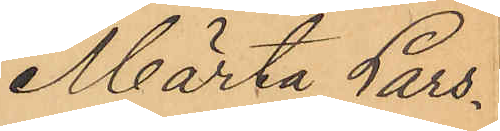Märta Lars¬
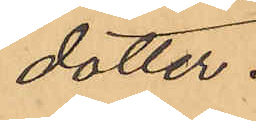dotter.
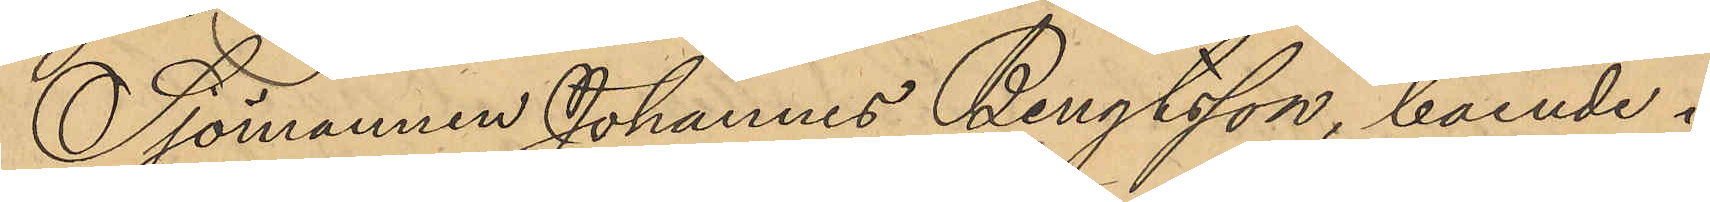Sjömannen Johannes Bengtsson, boende i
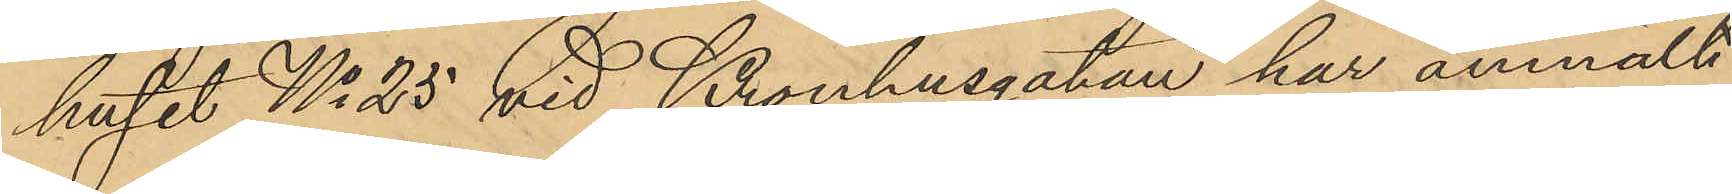huset No 25 vid Kronhusgatan har anmält
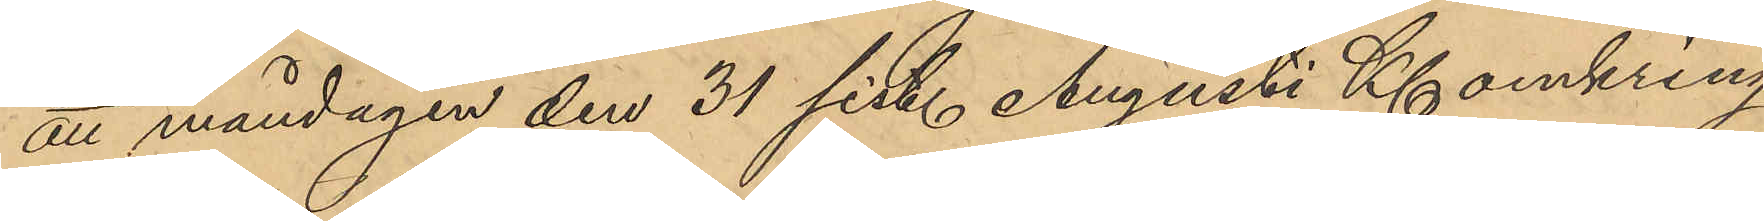att måndagen den 31 sist. Augusti Kl omkring
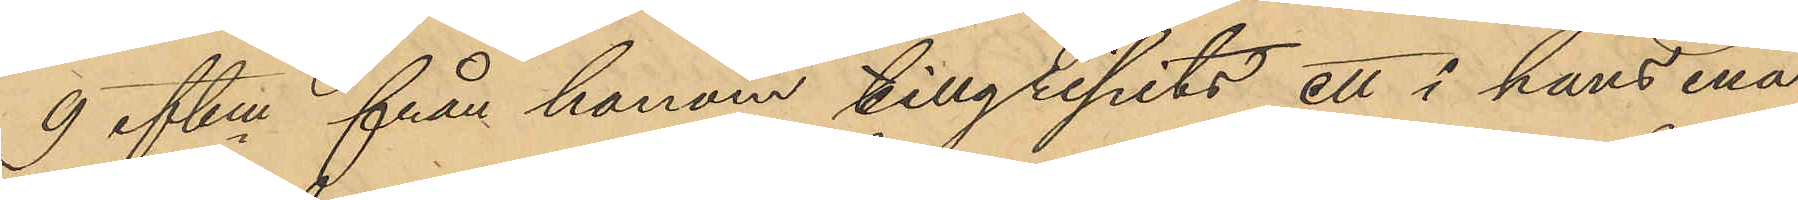9 eftm från honom tillgripits ett i hans ena
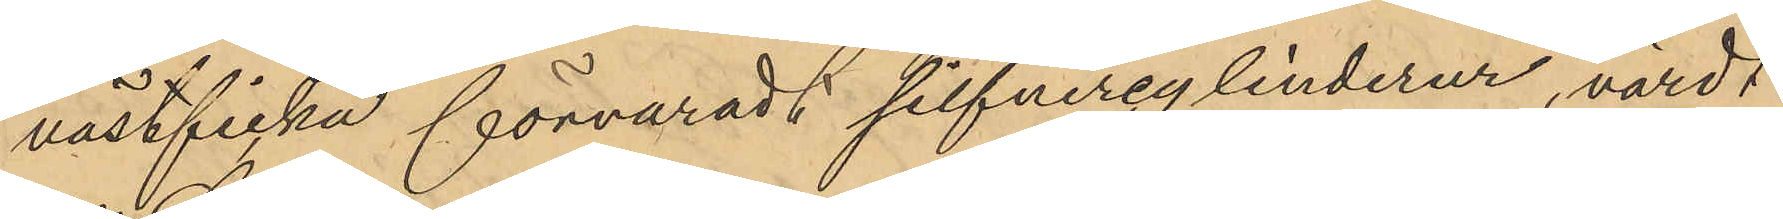västficka förvaradt silfvercylinderur, värdt
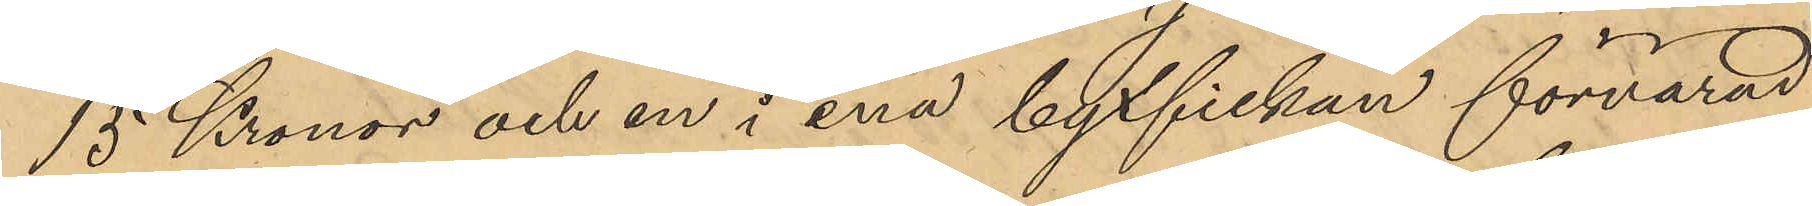15 Kronor och en i ena byxfickan förvarad
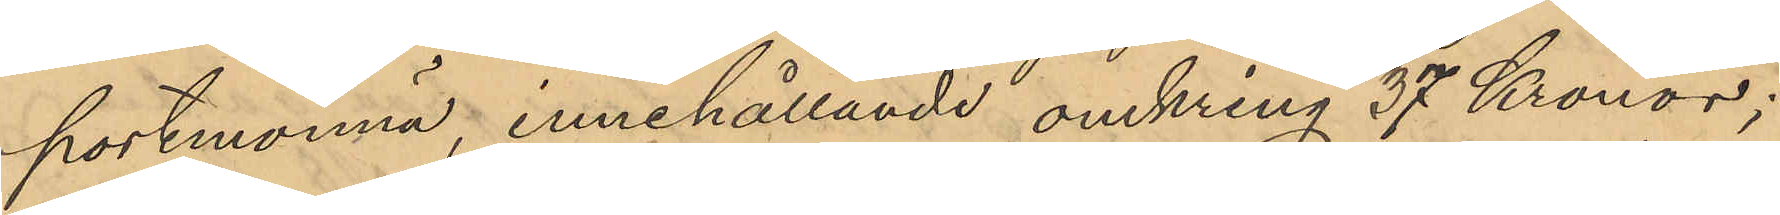portmonnä, innehållande omkring 37 Kronor;
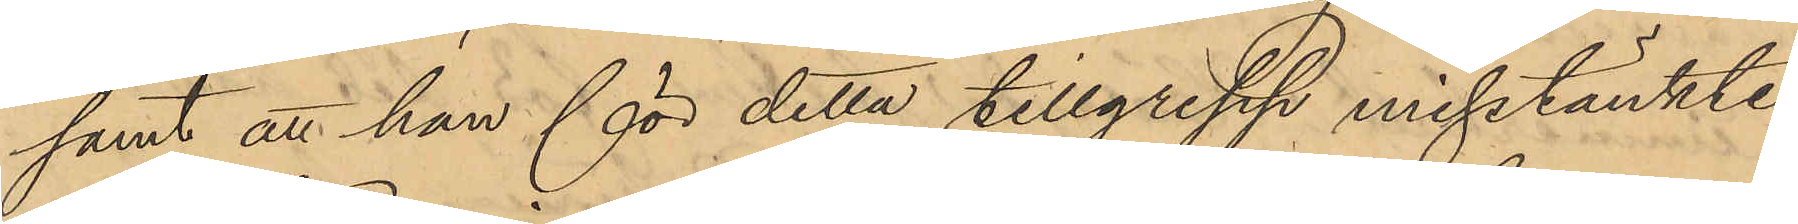samt att han för detta tillgrepp misstänkte
